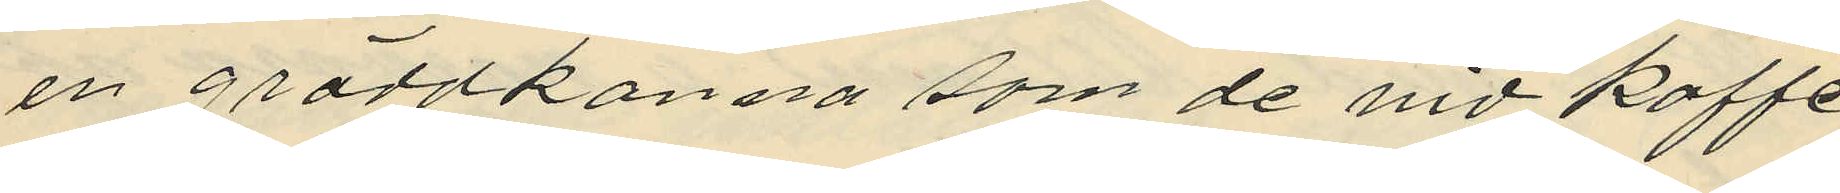en gräddkanna som de vid kaffe
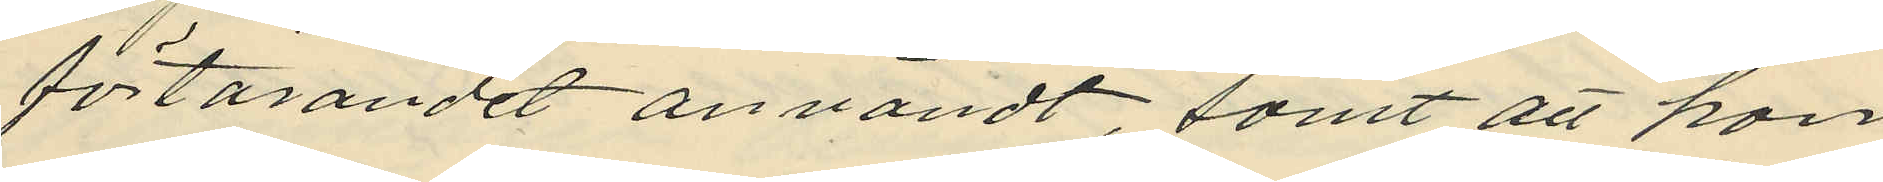förtärandet användt, samt att hon
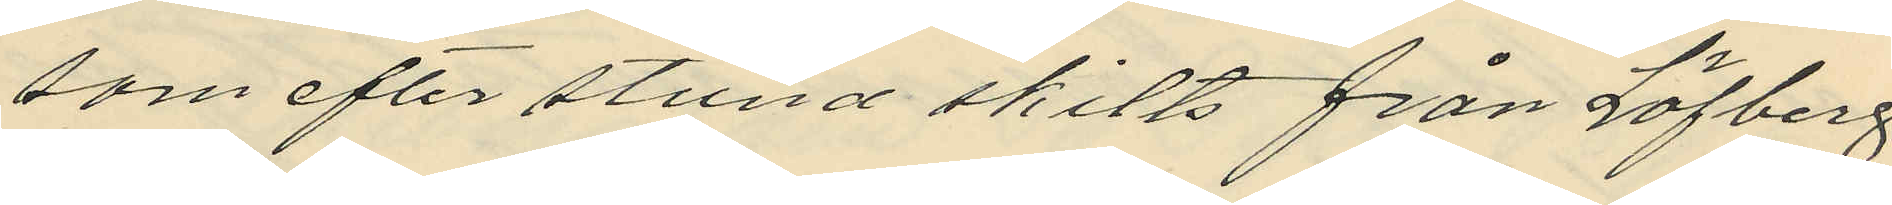som efter stund skilts från Löfberg
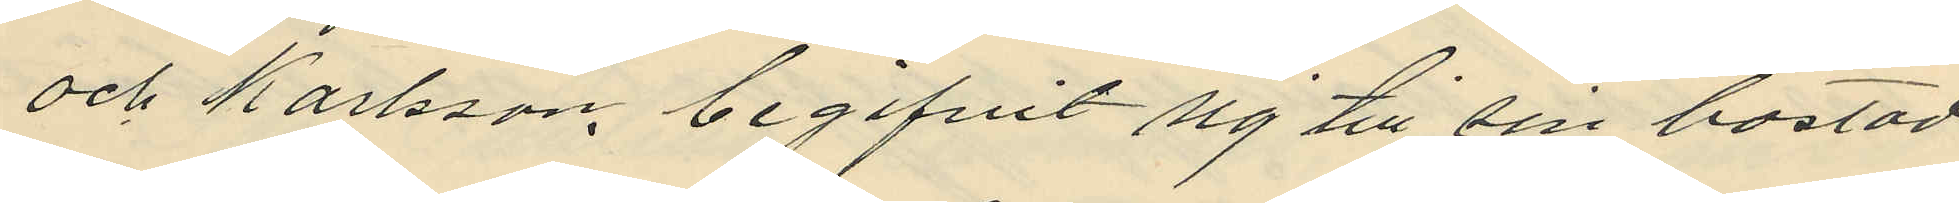och Karlsson, begifvit sig till sin bostad
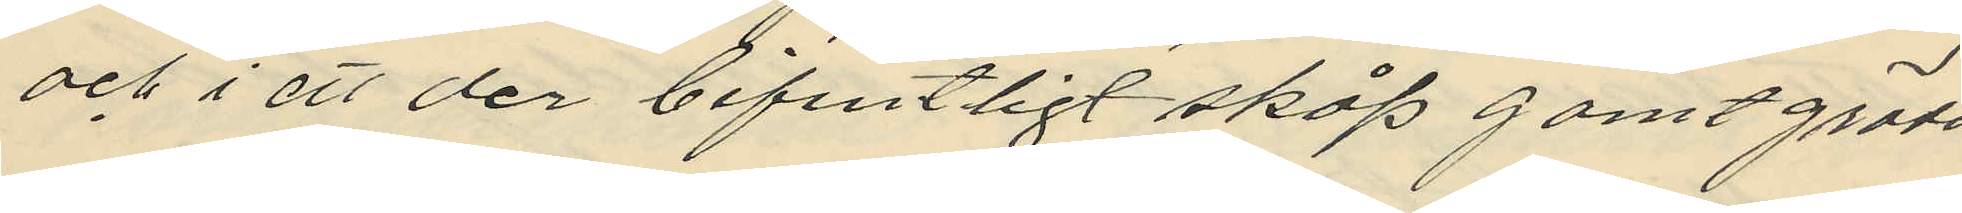och i ett der befintligt skåp gomt grädd
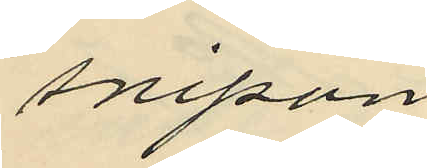snipan
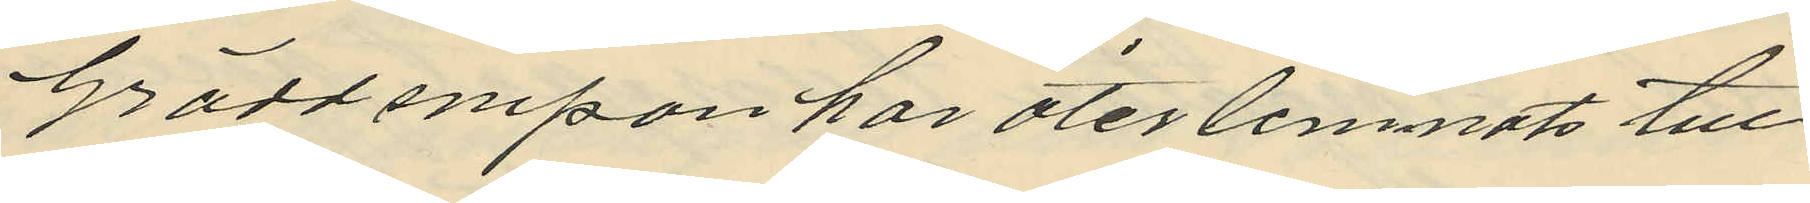Gräddsnipan har återlemnats till
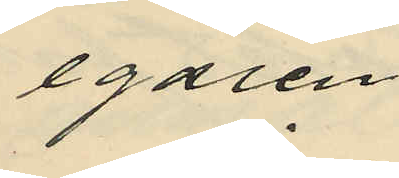egaren
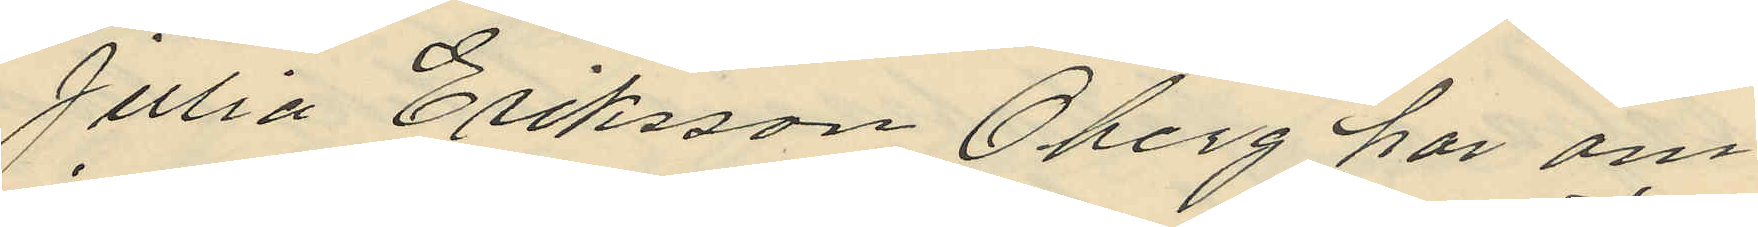Julia Eriksson Oberg har om
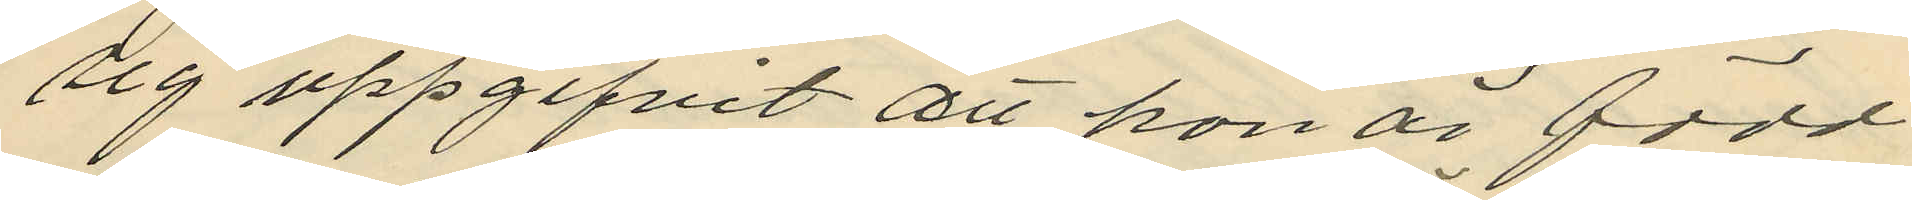sig uppgifvit att hon är född
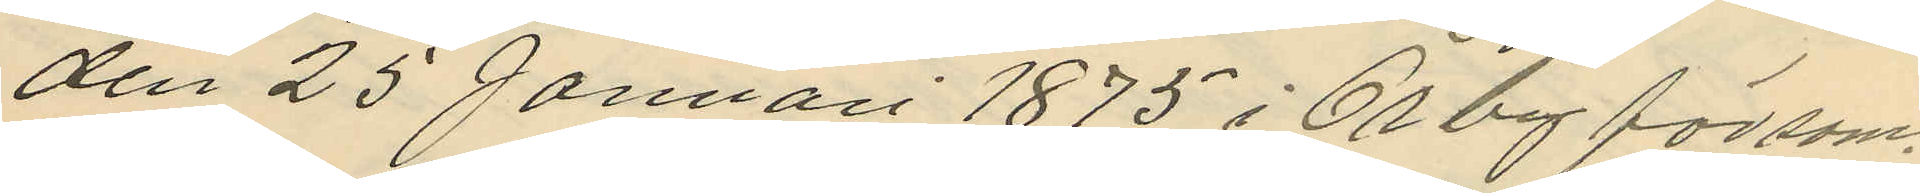den 25 Januari 1875 i Örby försam¬
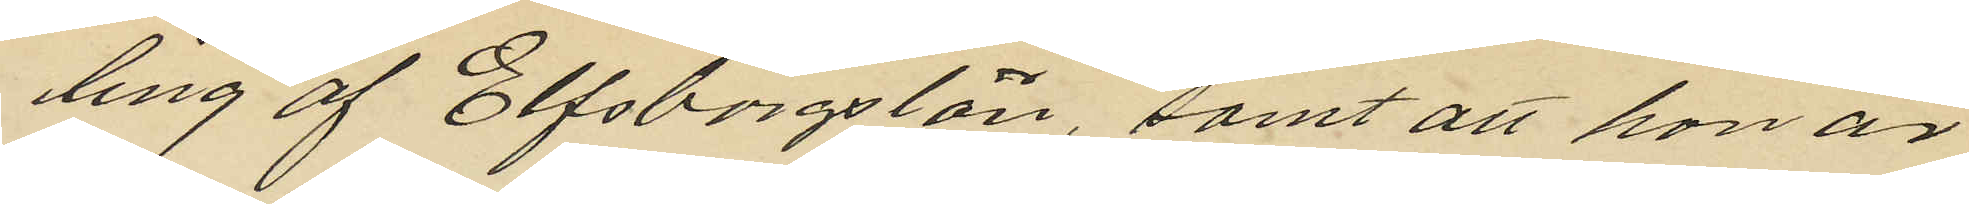ling af Elfsborgs län, samt att hon är
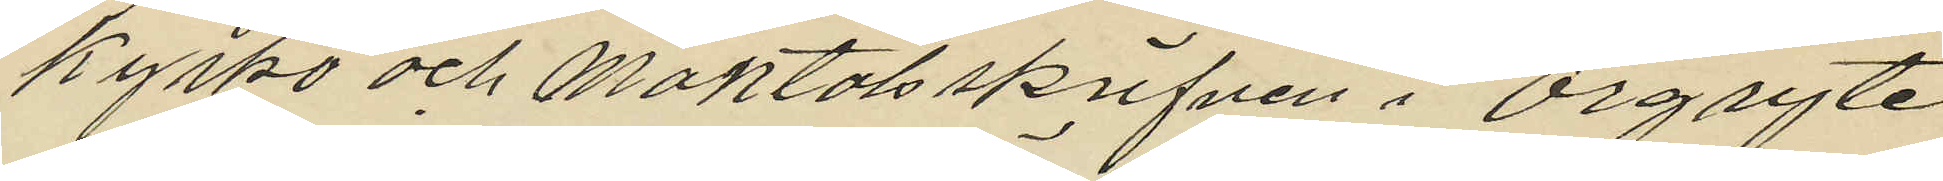kyrko och mantalsskrifven i Örgryte
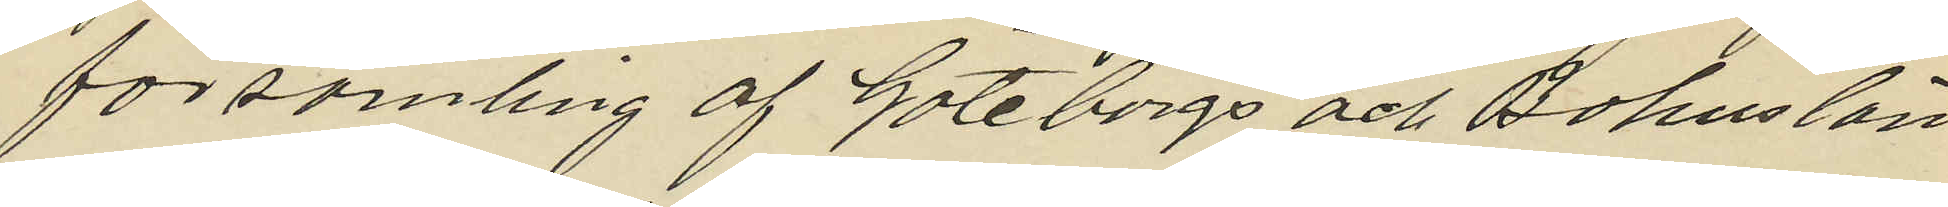församling af Göteborgs och Bohus län
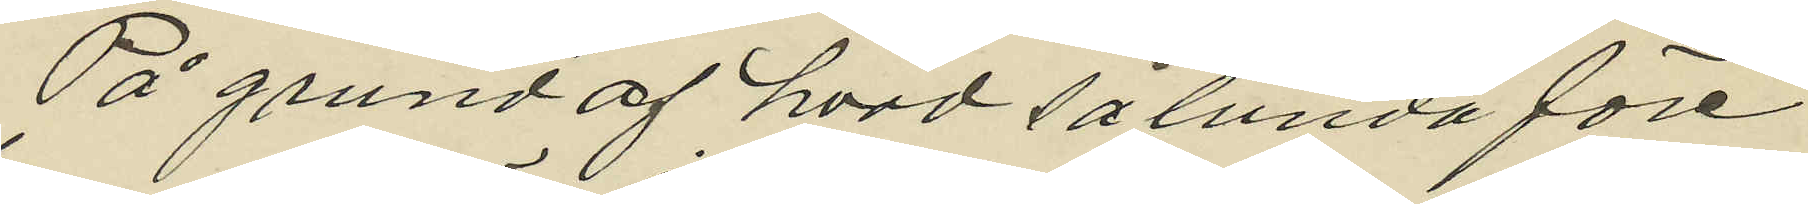På grund af hvad sålunda före¬
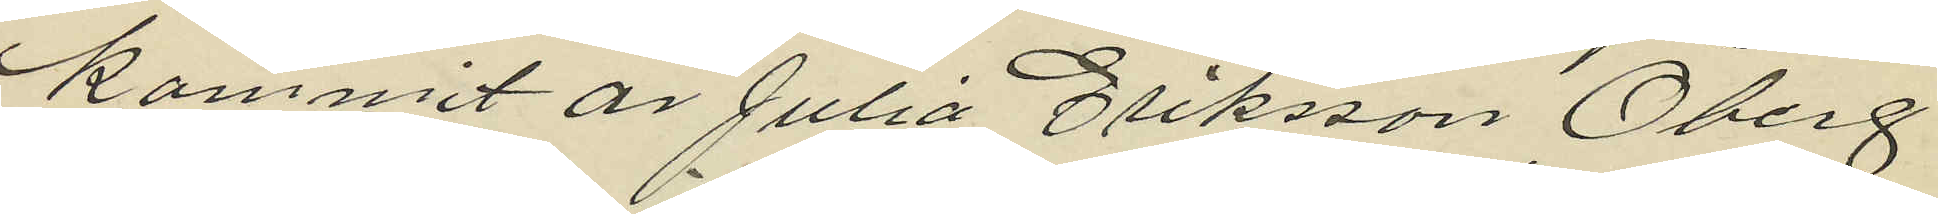kommit är Julia Eriksson Öberg
